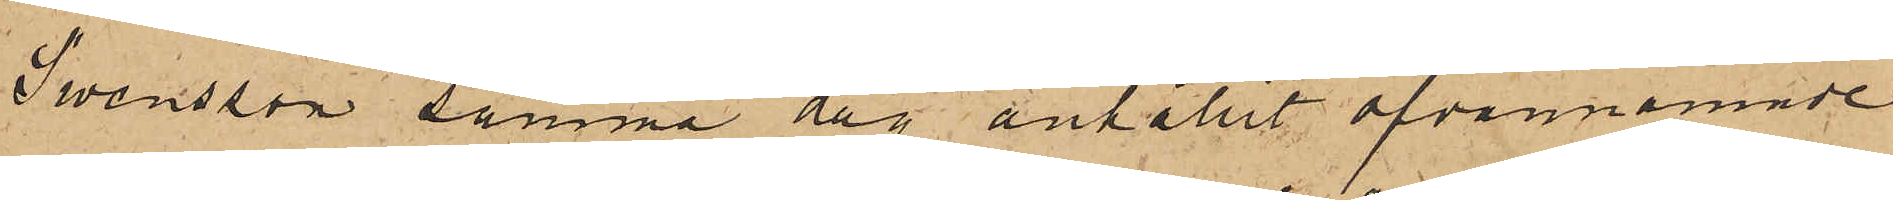Swensson samma dag anhållit ofvannämnde
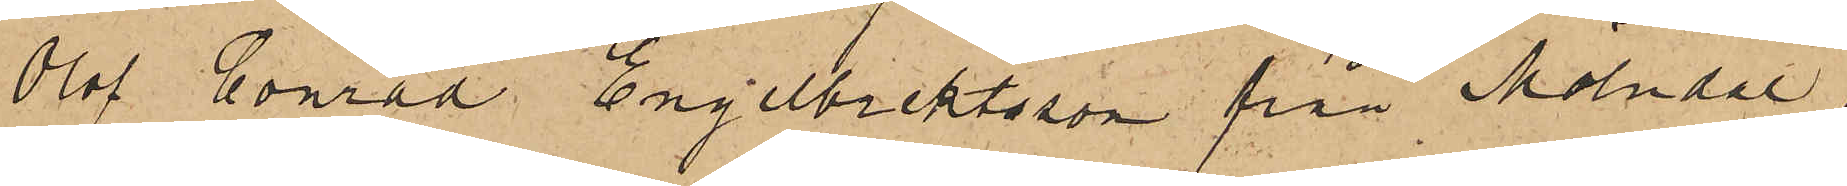Olof Conrad Engelbrektsson från Mölndal,
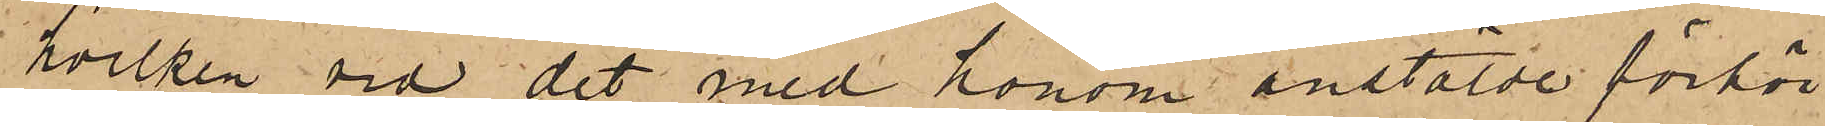hvilken vid det med honom anstälde förhör
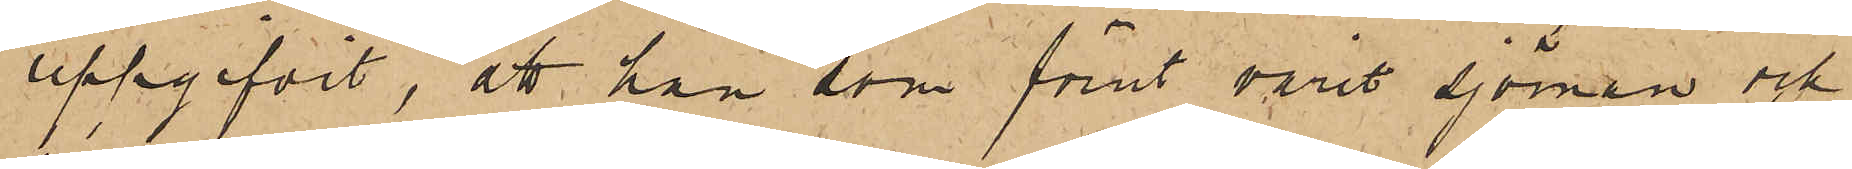uppgifvit, att han som förut varit Sjöman och
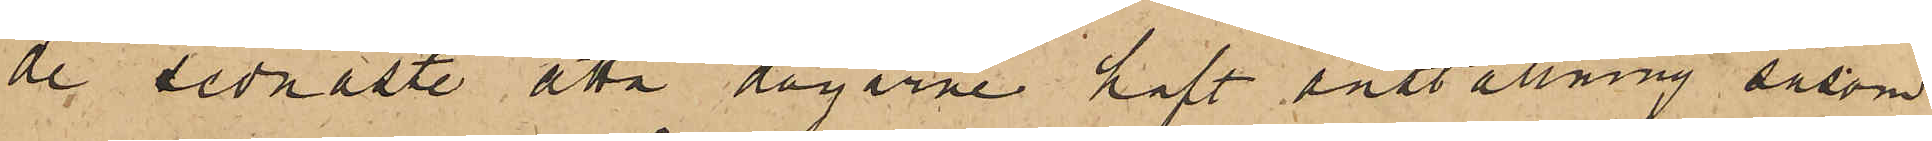de sednaste åtta dagarne haft anställning såsom
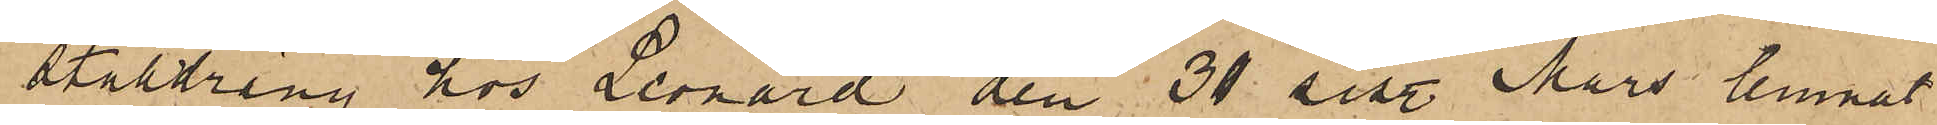stalldräng hos Leonard den 31 sist. Mars lemnat
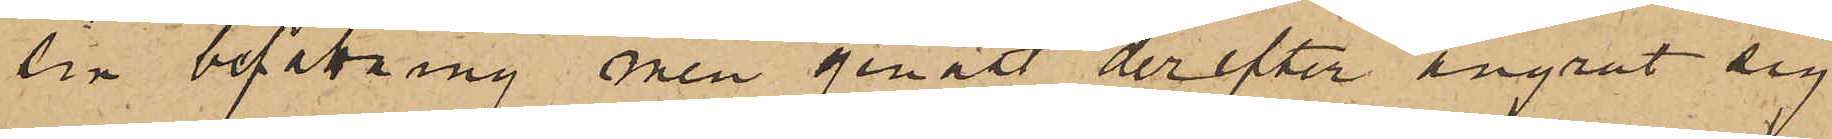sin befattning men genast derefter ångrat sig
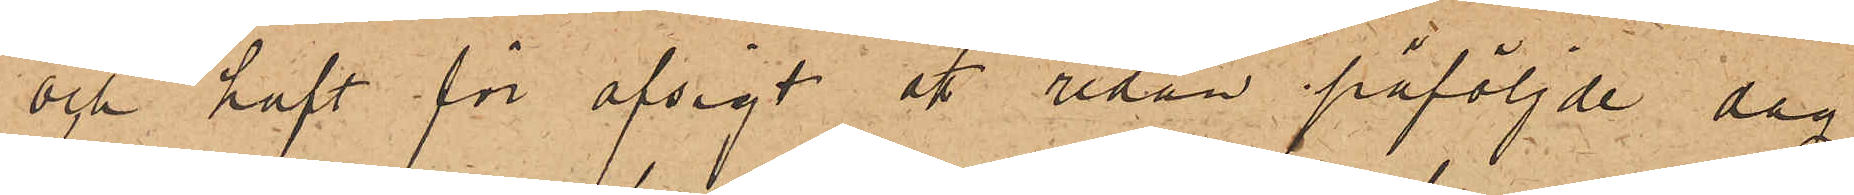och haft för afsigt att redan påföljde dag
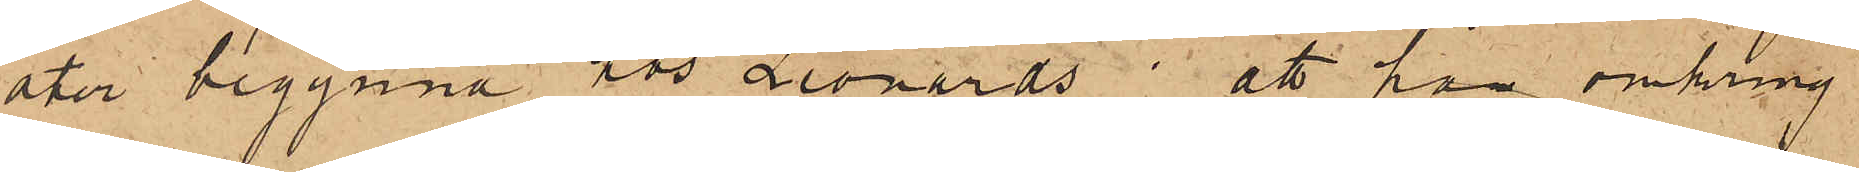åter begynna hos Leonards; att han omkring
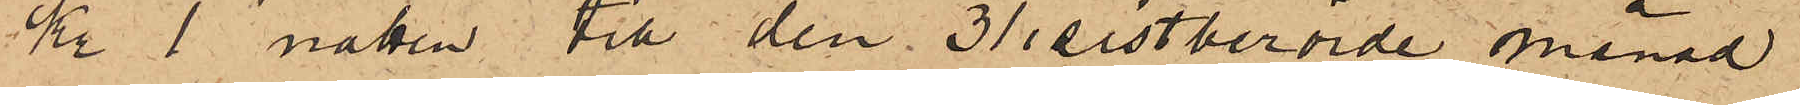Kr 1 natten till den 31 sistberörde månad
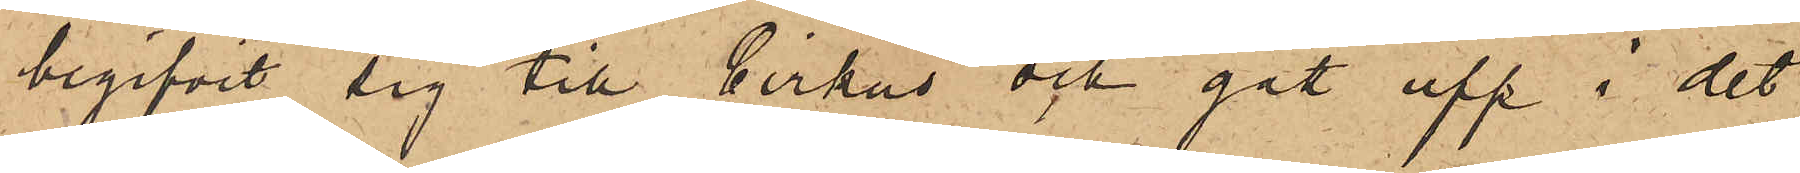begifvit sig till Cirkus och gått upp i det
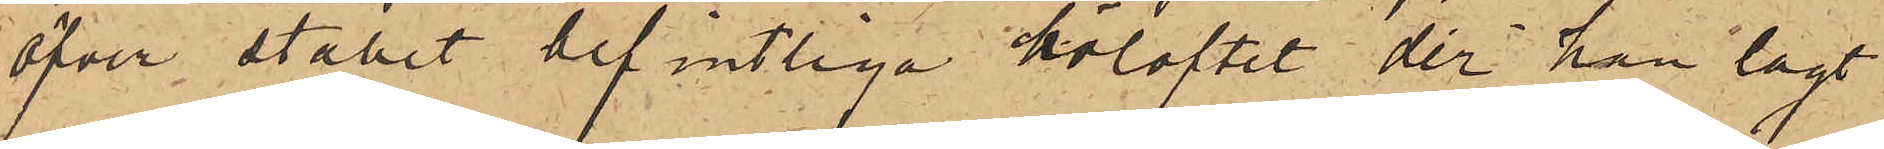öfver stallet befintliga höloftet, der han lagt
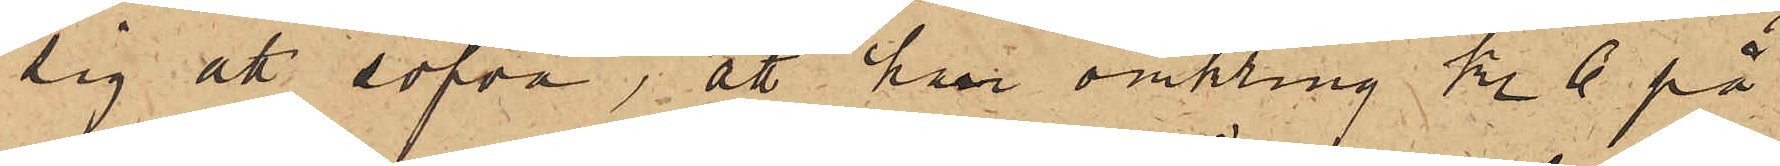sig att sofva, att han omkring kl. 6 på
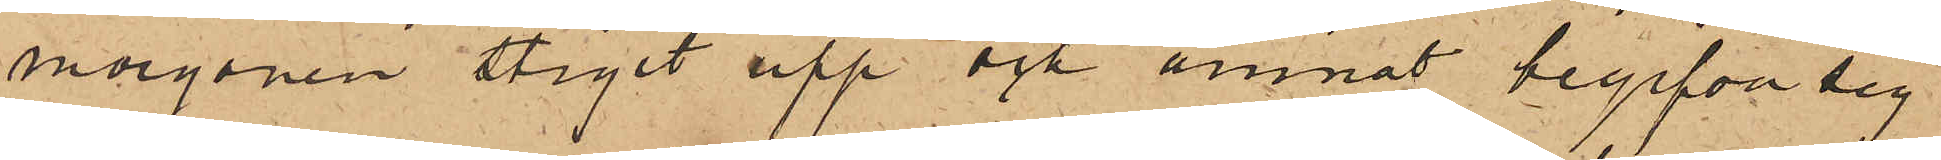morgonen stigit upp och ämnat begifva sig
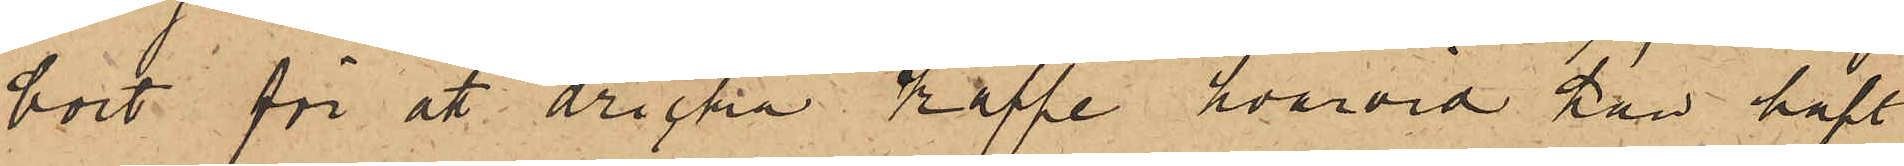bort för åt dricka kaffe, hvarvid han haft
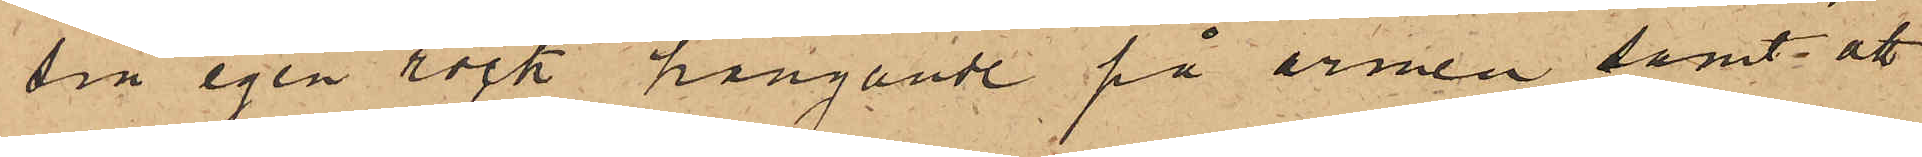sin egen rock hängande på armen samt att
